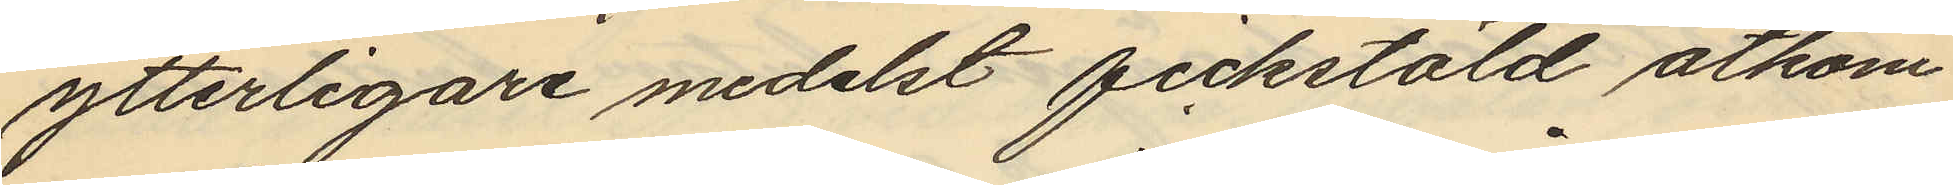ytterligare medelst fickstöld åtkom¬
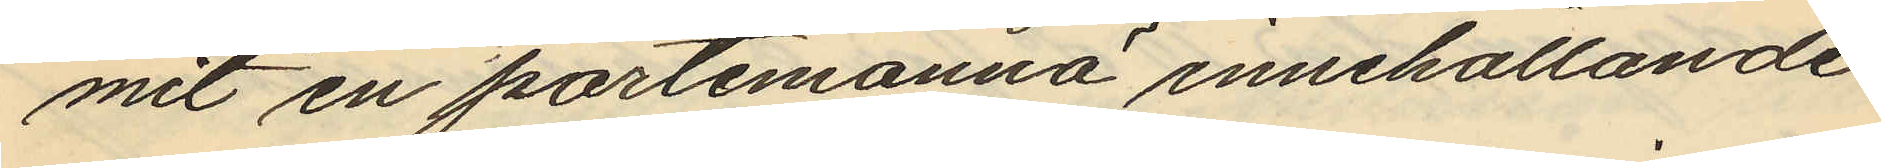mit en portmonnä innehållande
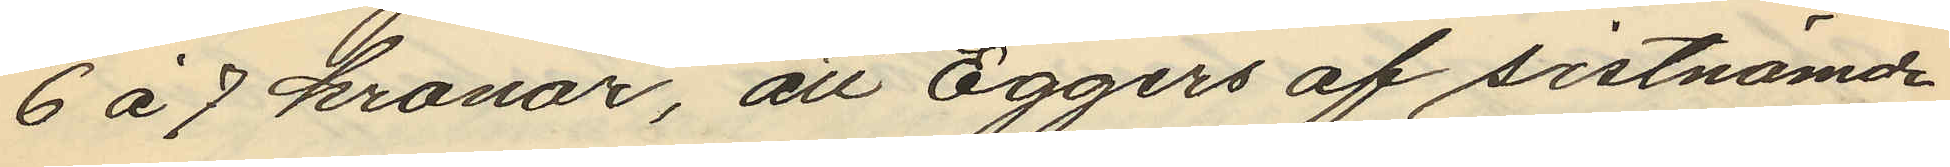6 à 7 kronor, att Eggers af sistnämde
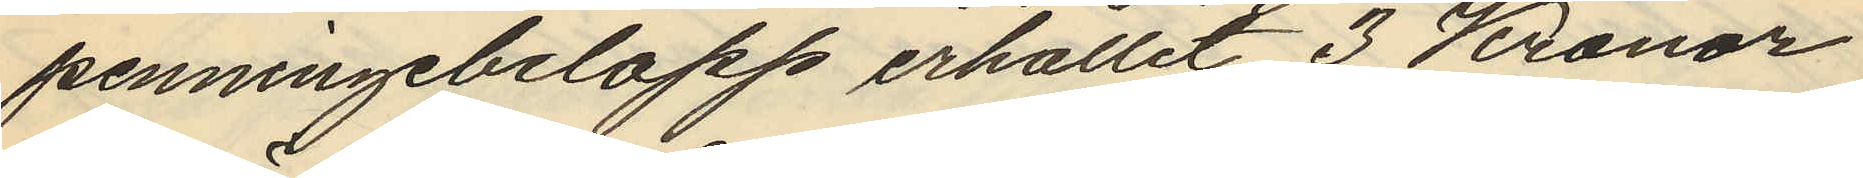penningebelopp erhållit 3 Kronor
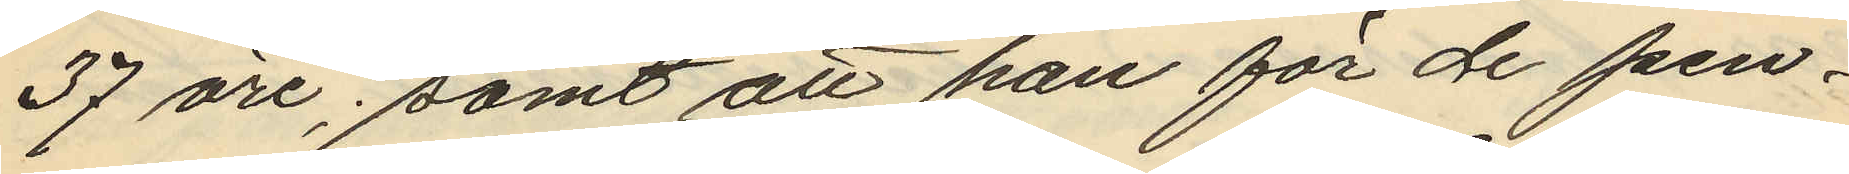37 öre; samt att han för de pen¬
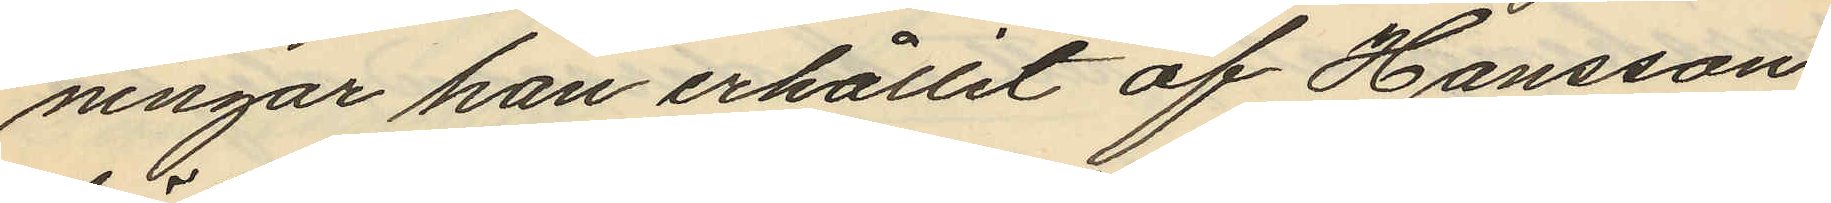ningar han erhållit af Hansson
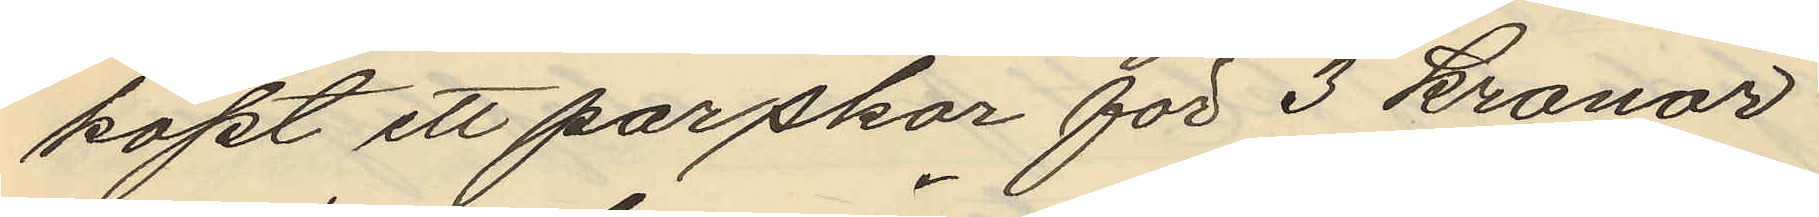köpt ett par skor för 3 kronor
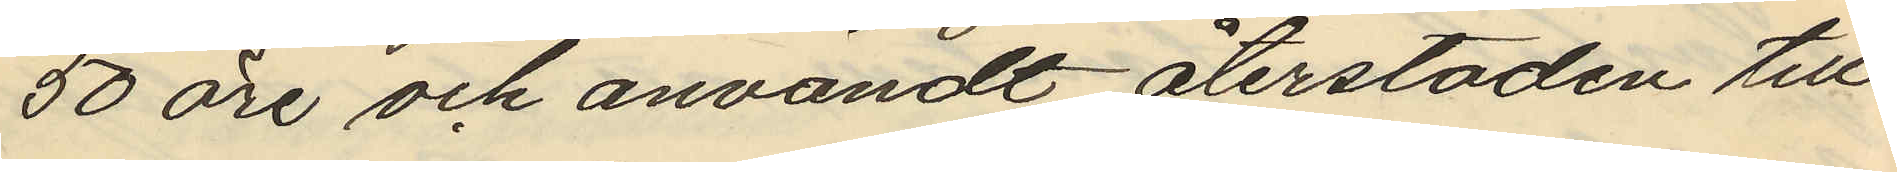50 öre och användt återstoden till
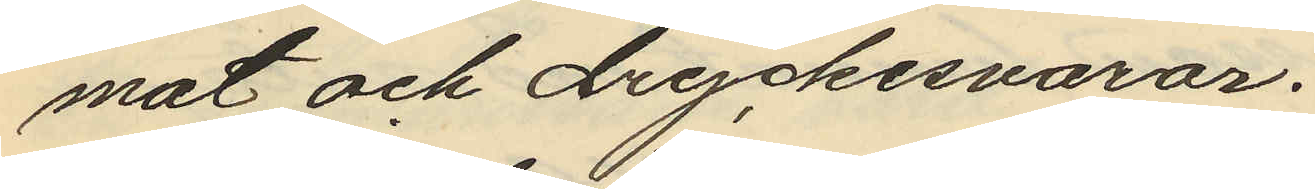mat och dryckesvaror.
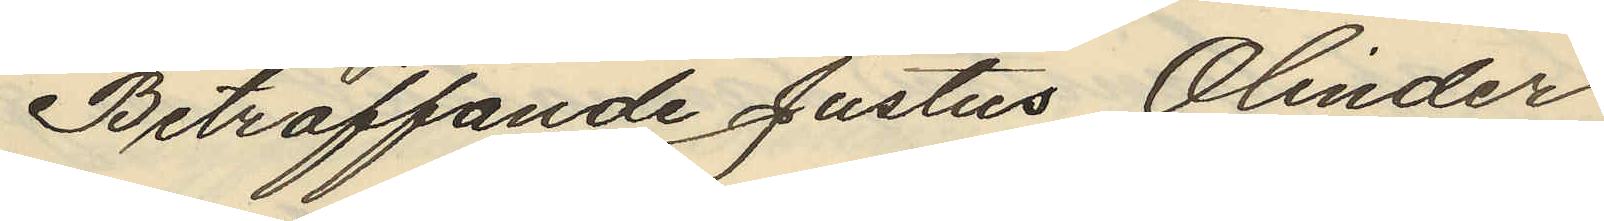Beträffande Justus Olinder
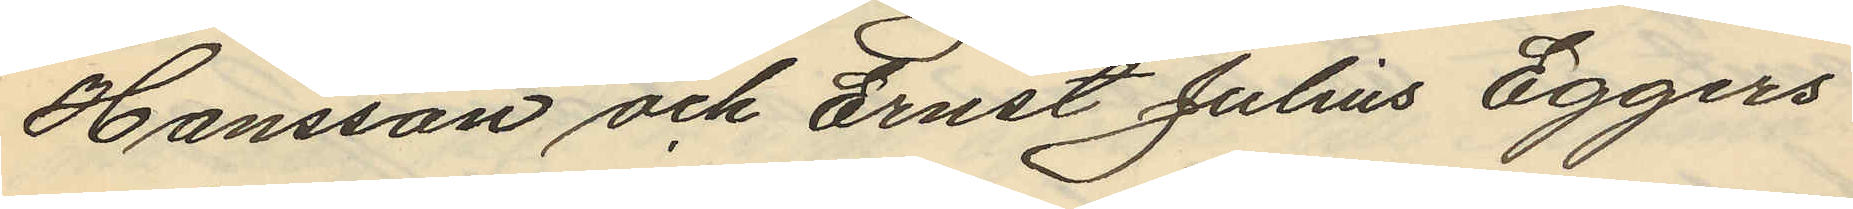Hansson och Ernst Julius Eggers
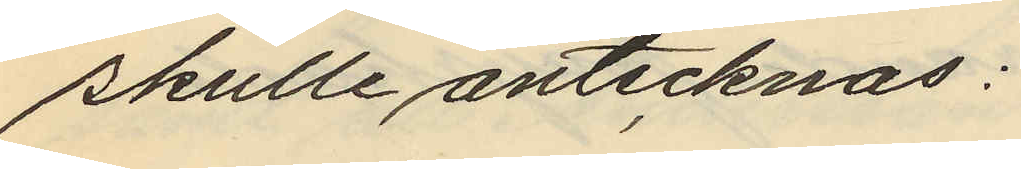skulle antecknas;
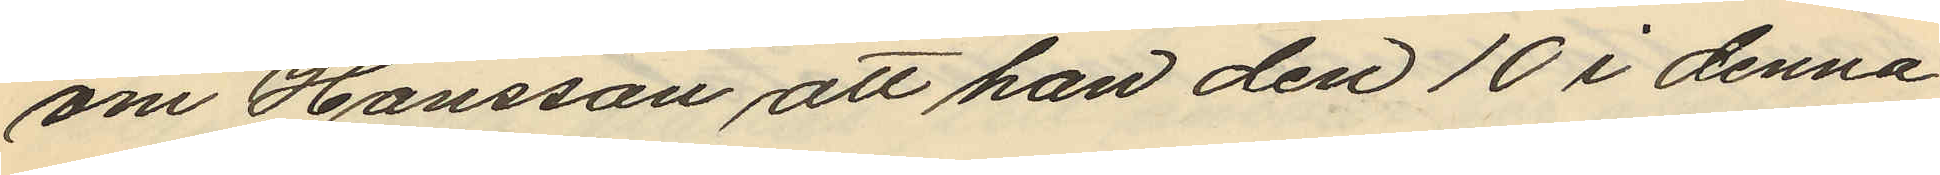om Hansson att han den 10 i denna
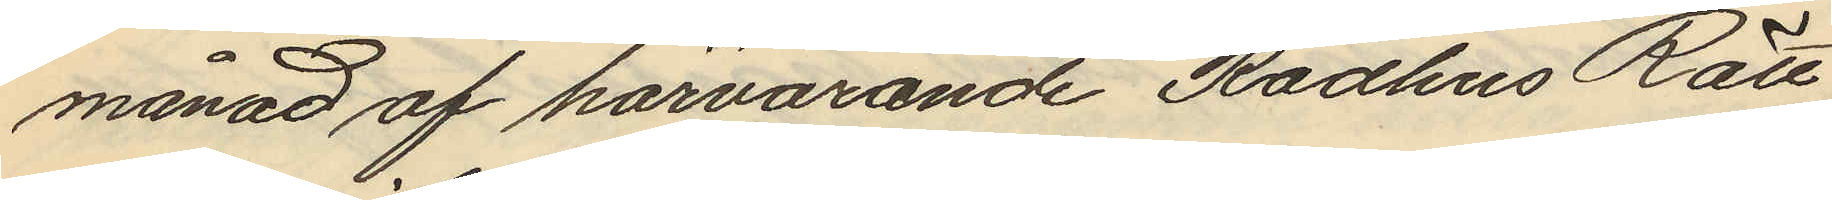månad af härvarande Rådhus Rätt
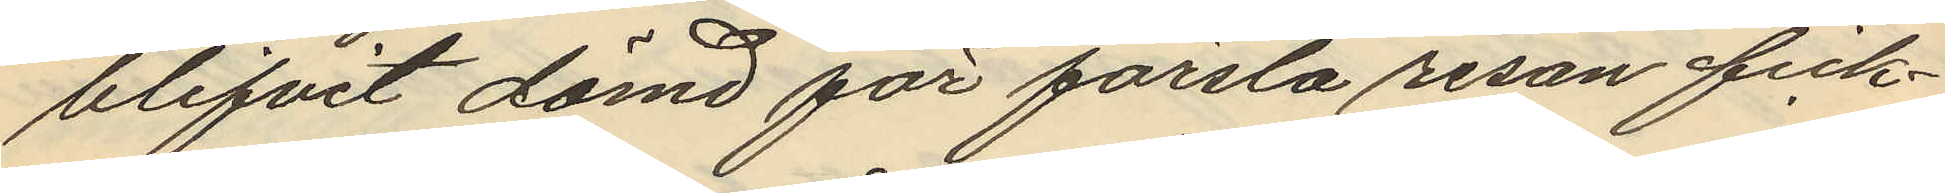blifvit dömd för första resan fick¬
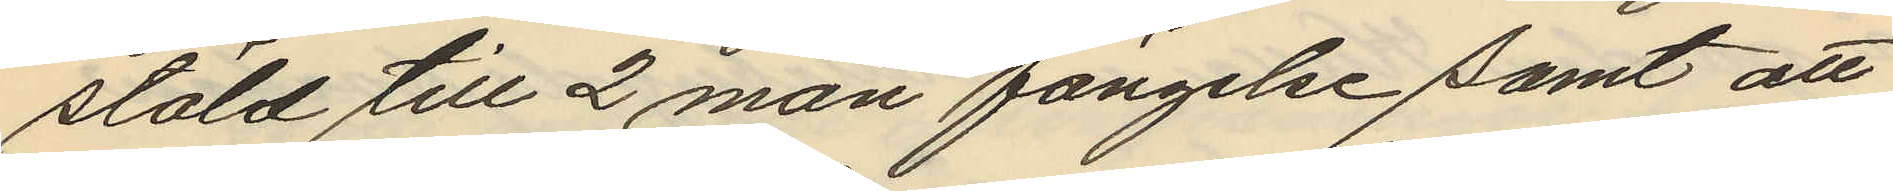stöld till 2 mån fängelse samt att
